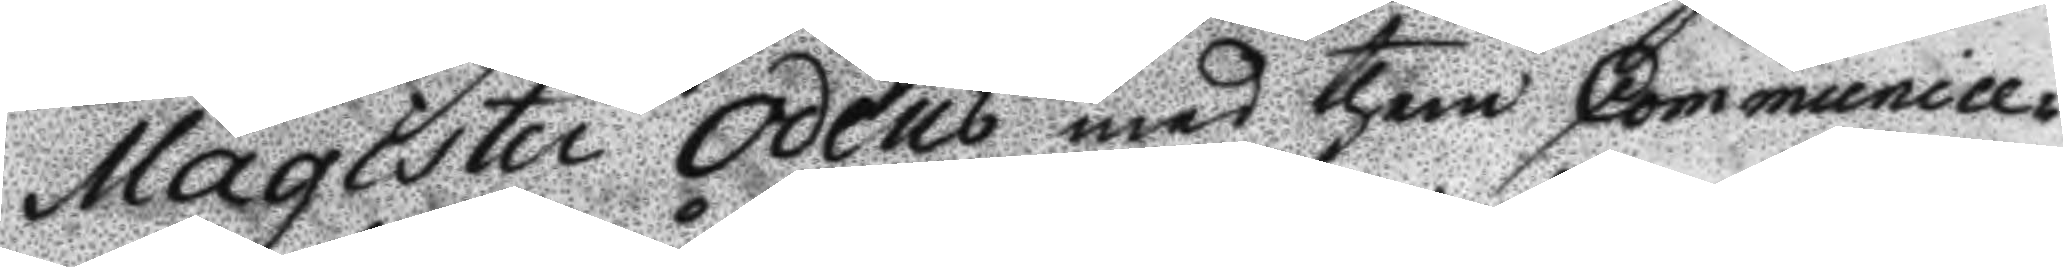Magister Odéns med them Communice¬
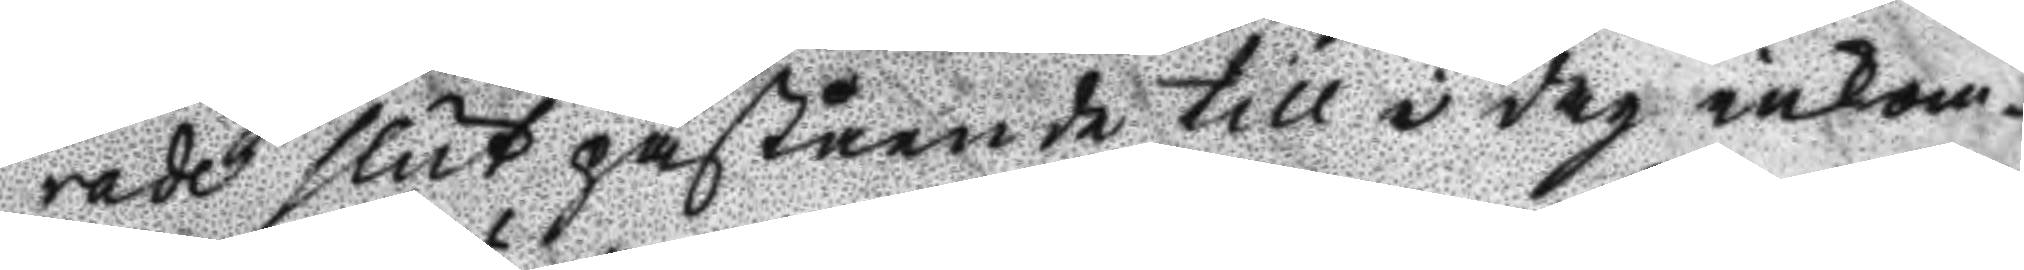rade slut påstående till i dag inkom¬
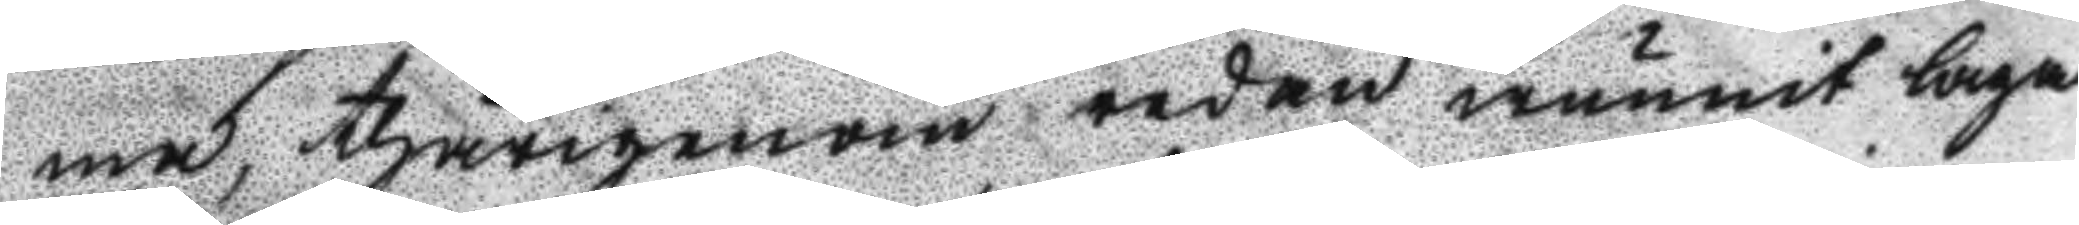ma, thärigenom redan wunnit laga
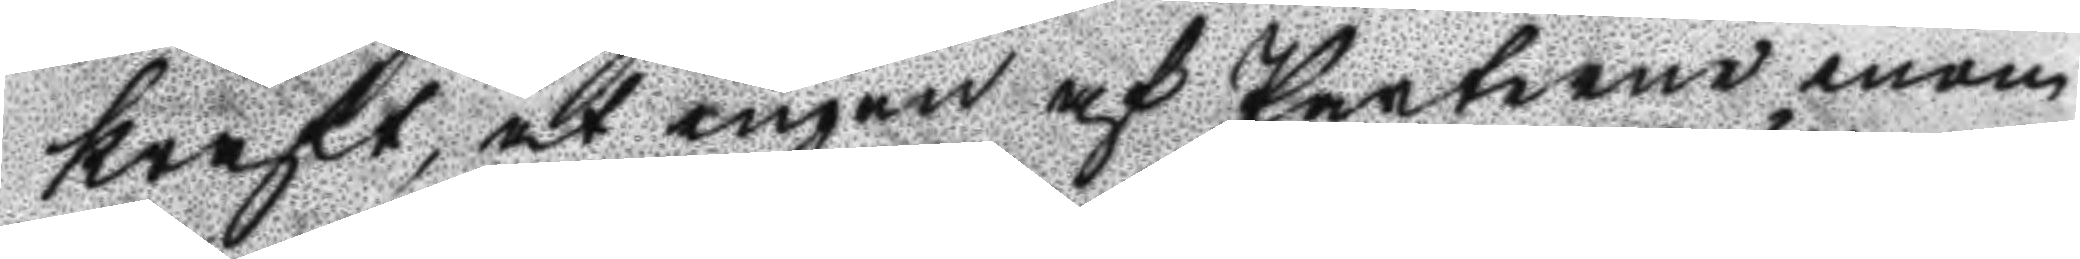kraft, at ingen af Parterne inom
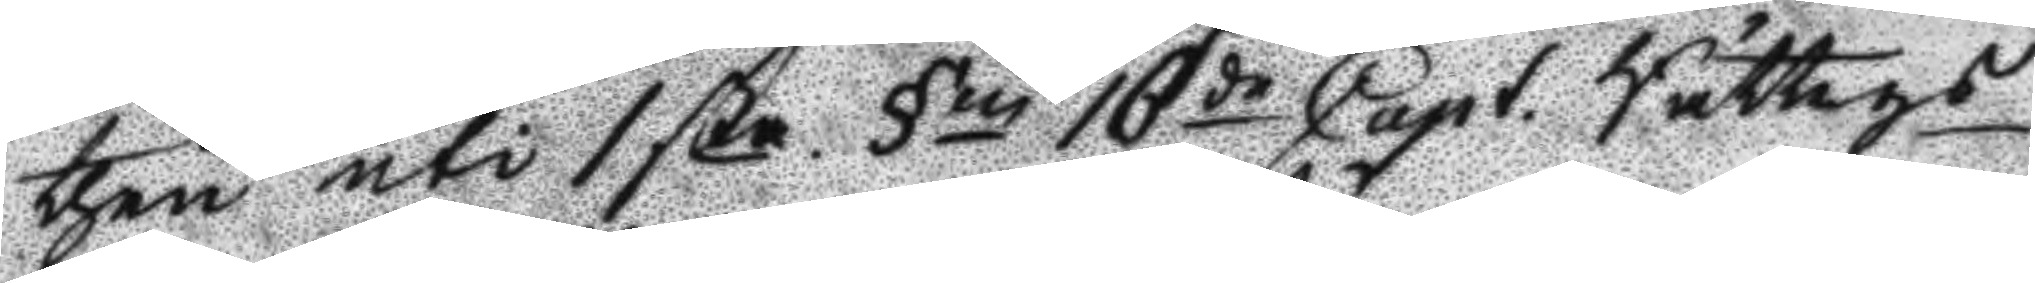then uti 1sta §n 16de Capt. Rättegs
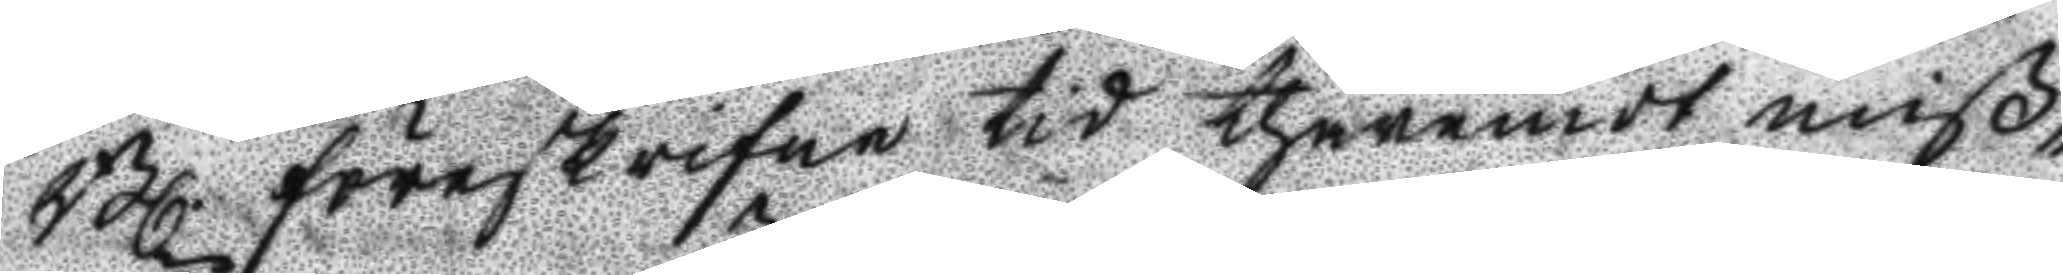Bl. föreskrifne tid thäremodt miß¬
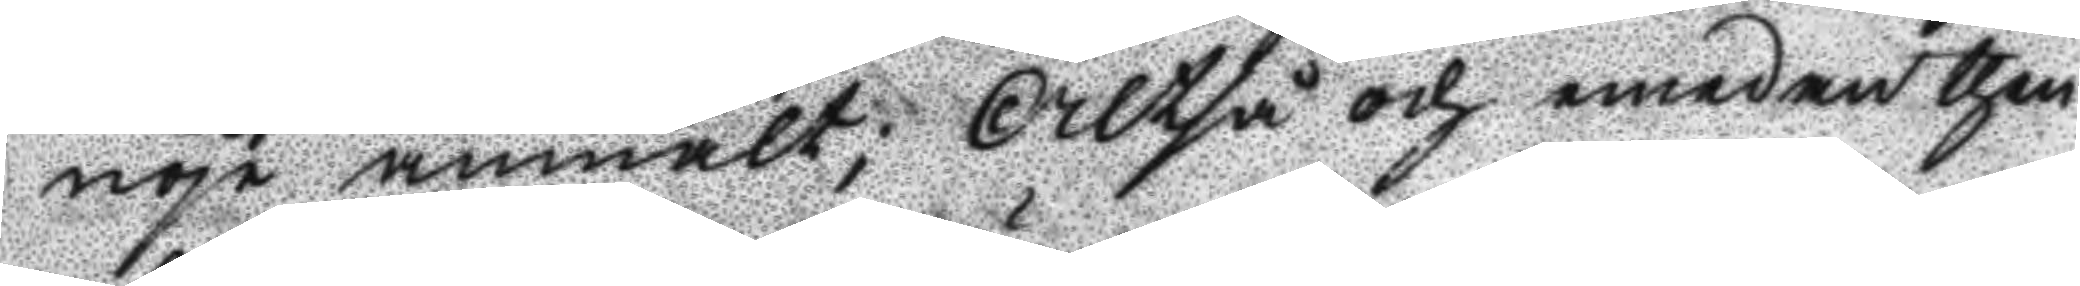nöje anmält; Altså och emedan then
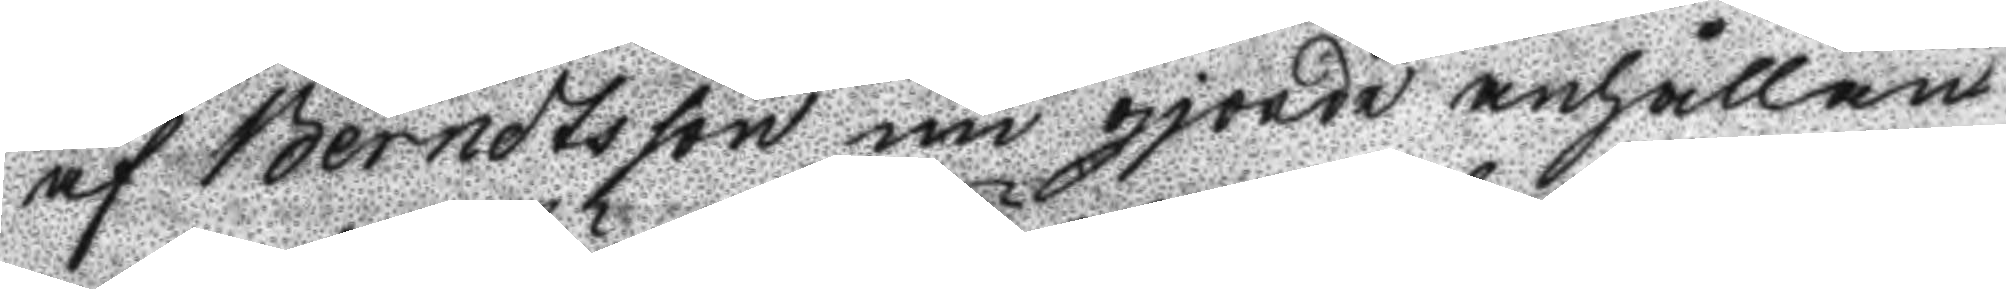af Berndtsson nu gjorde anhållan
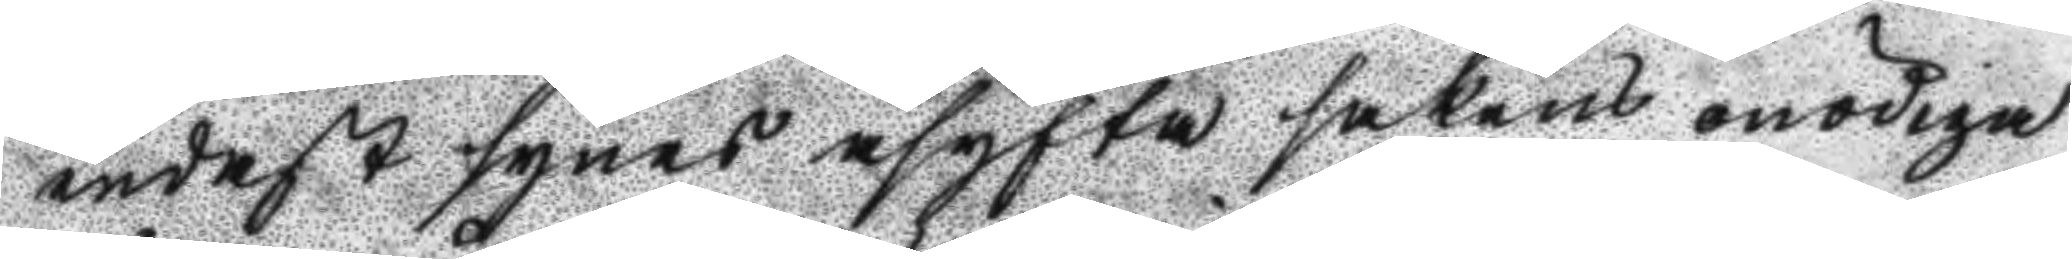endast synes åsyfta sakens onödiga
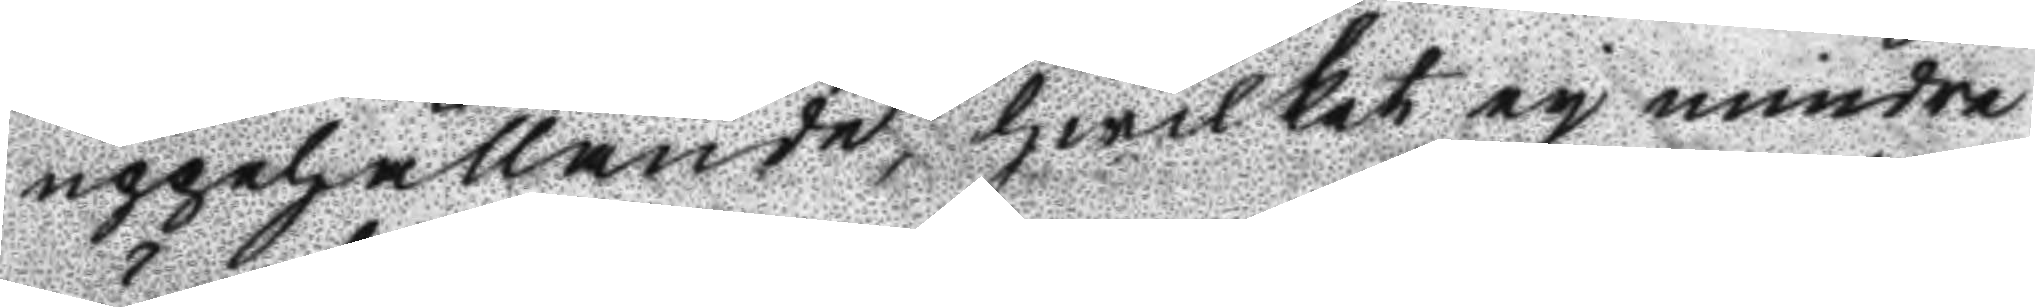uppehållande, hwilket ej mindre
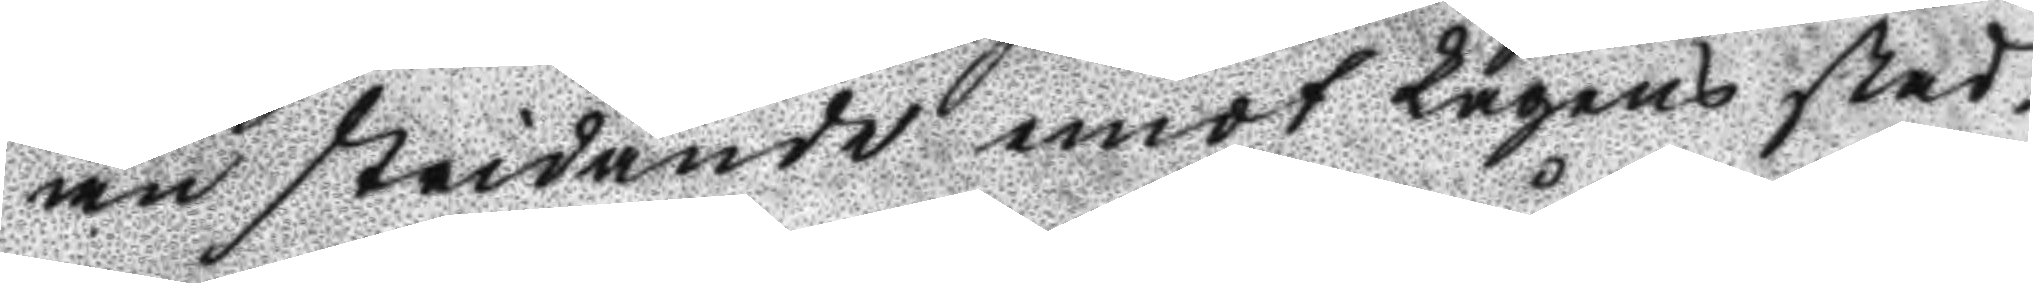än stadgande emot Lagens stad¬
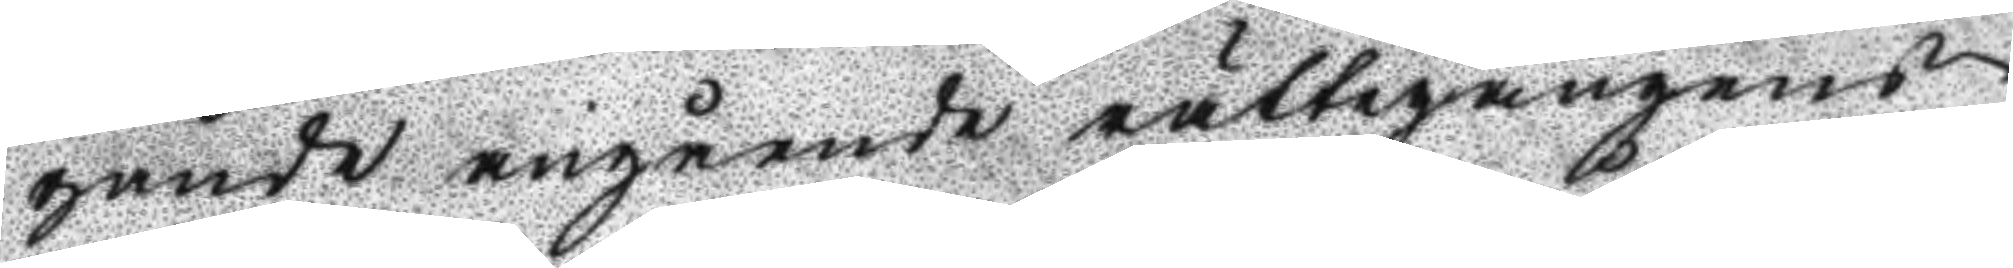gande angående rättegångens
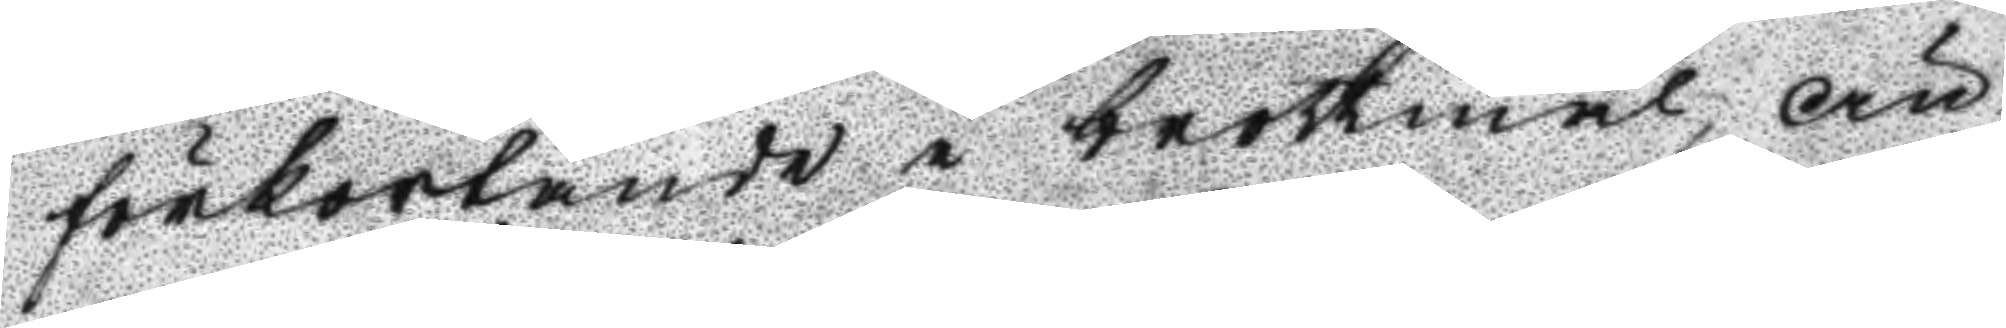förkortande i brottmål, än
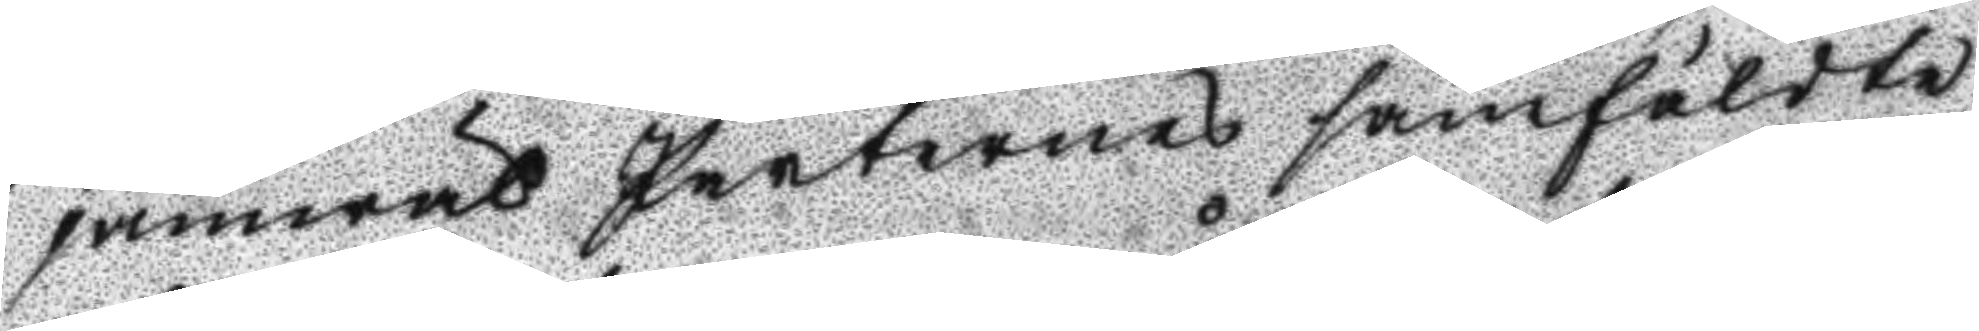jamwäl Parternes framstälte
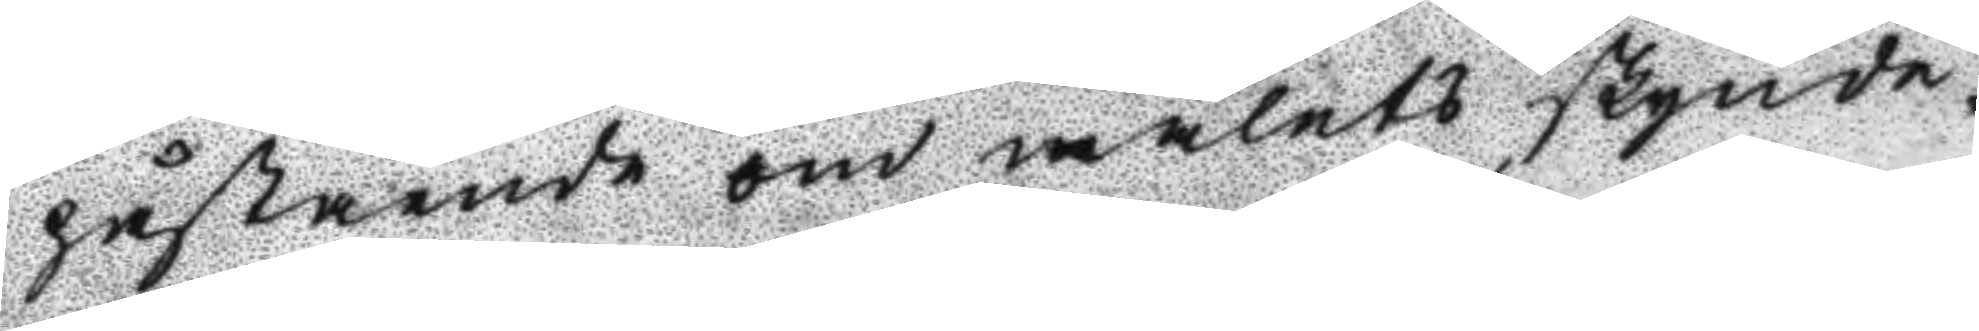påstående om målets skynde¬
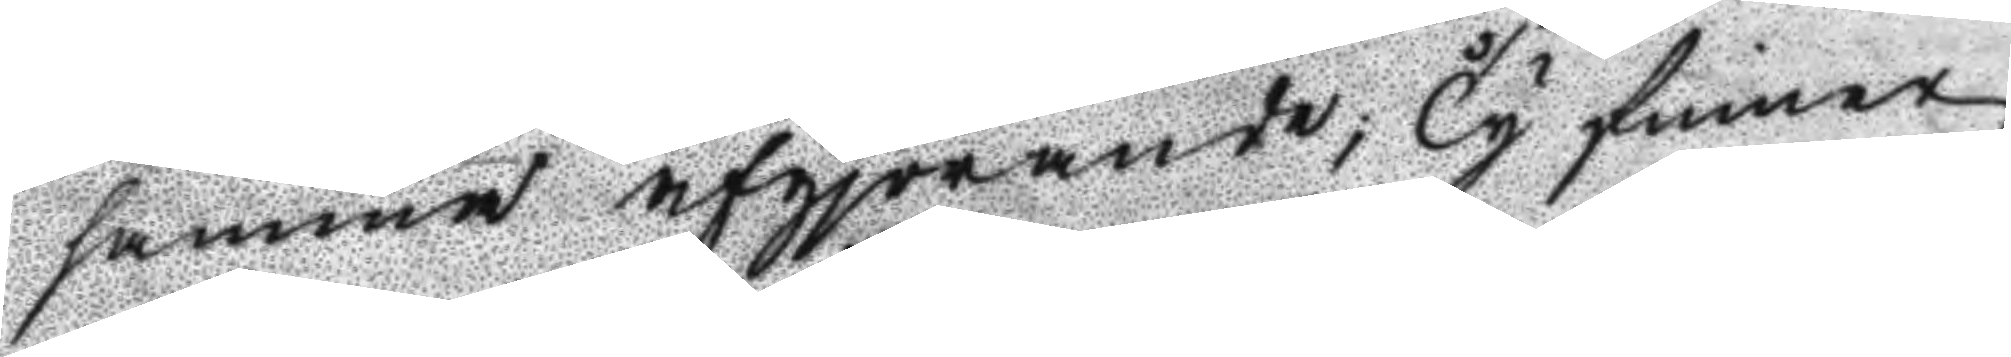samma afgjörande; Ty finner
